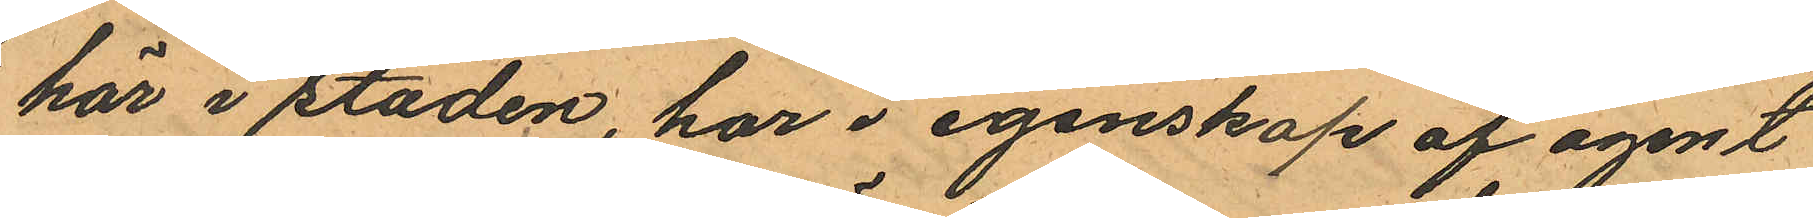här i staden, har i egenskap af agent
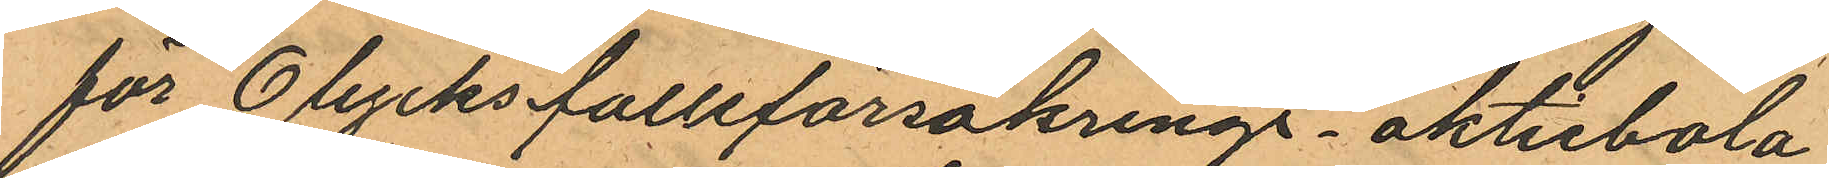för Olycksfallsförsäkrings- aktiebola
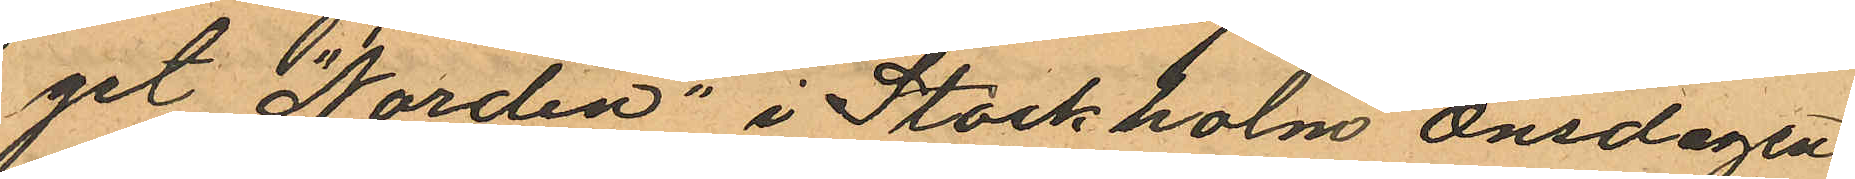get "Norden" i Stockholm onsdagen
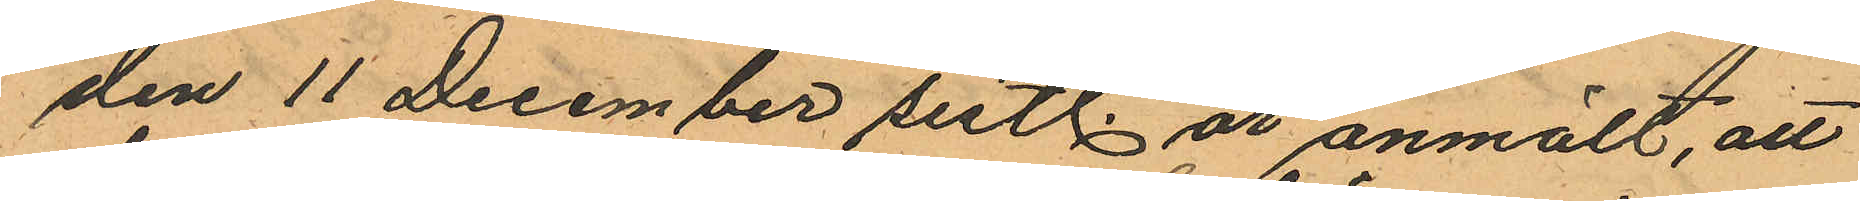den 11 December sistl. år anmält, att
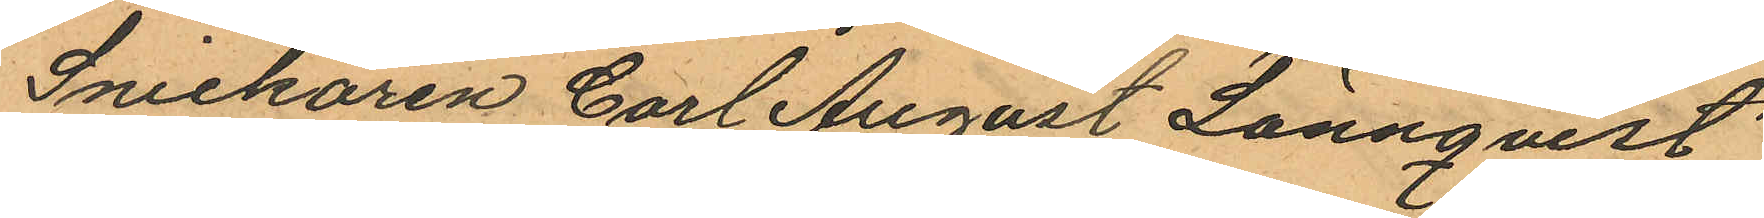Snickaren Carl August Lönnqvist
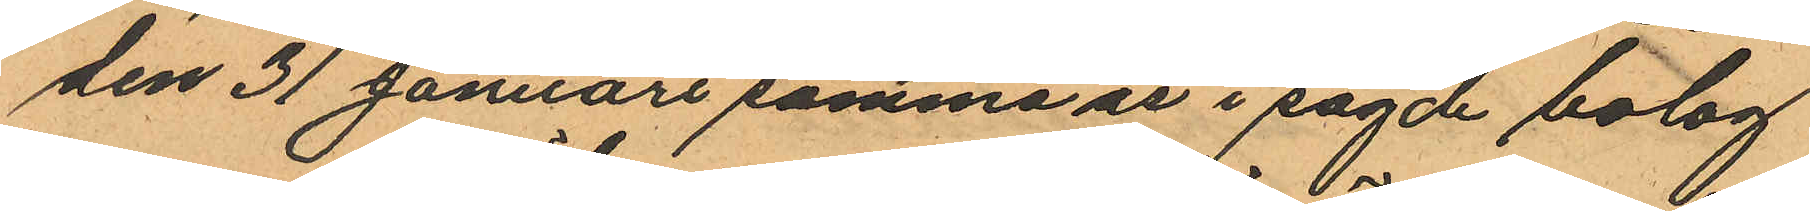den 31 Januari samma år i sagde bolag
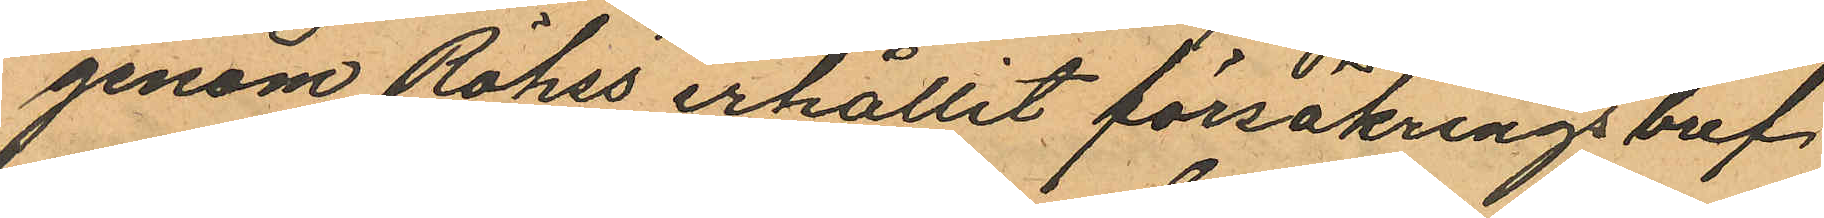genom Röhss erhållit försäkringsbref,
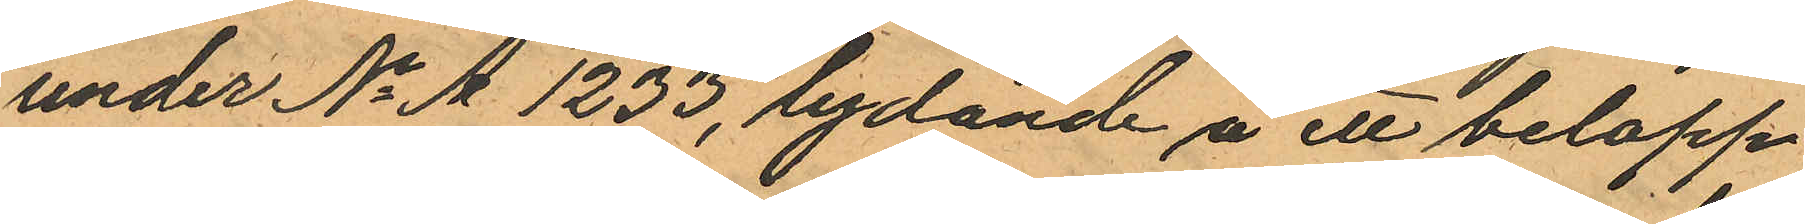under No A 1233, lydande å ett belopp
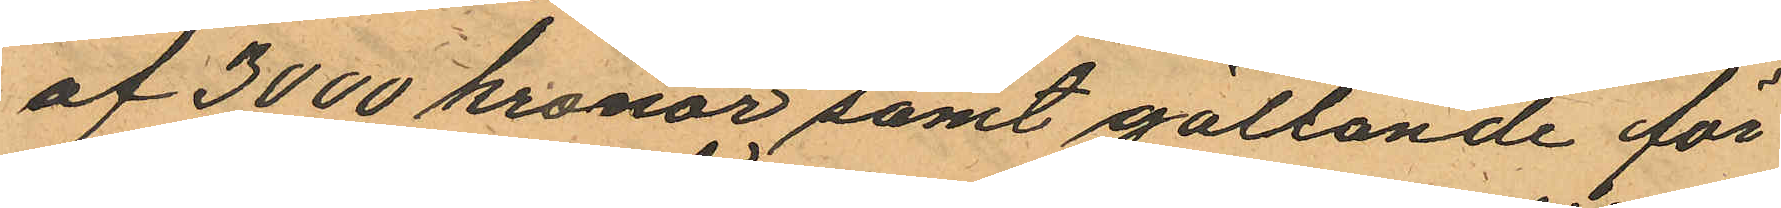af 3000 kronor samt gällande för
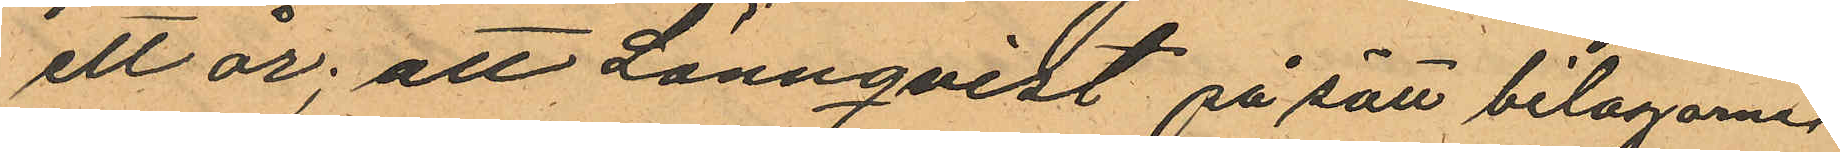ett år; att Lönnqvist på sätt bilagorne
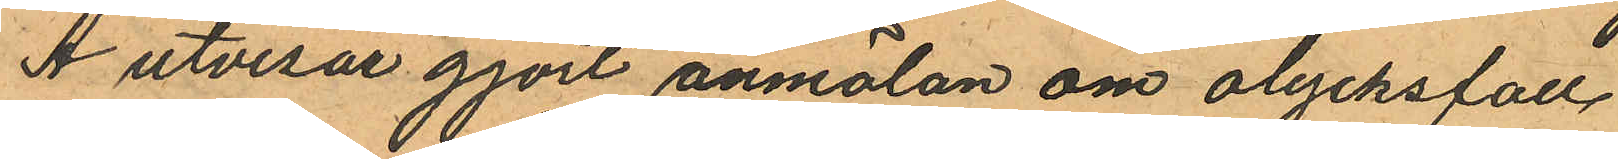A utvisar gjort anmälan om olycksfall
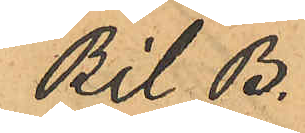Bil. B.
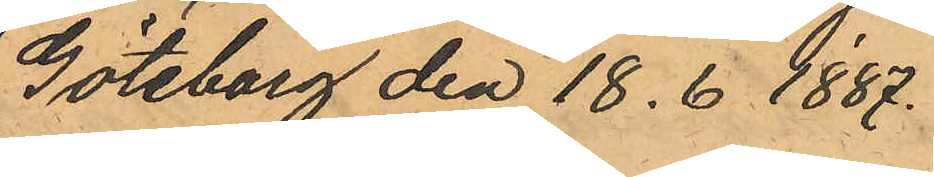Göteborg den 18. 6 1887.
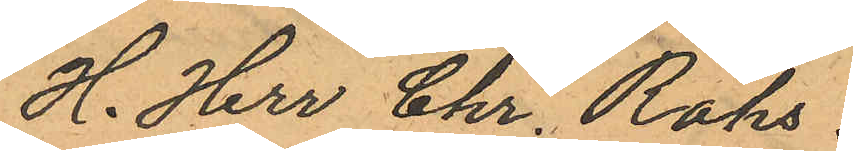H. Herr Chr. Röhs
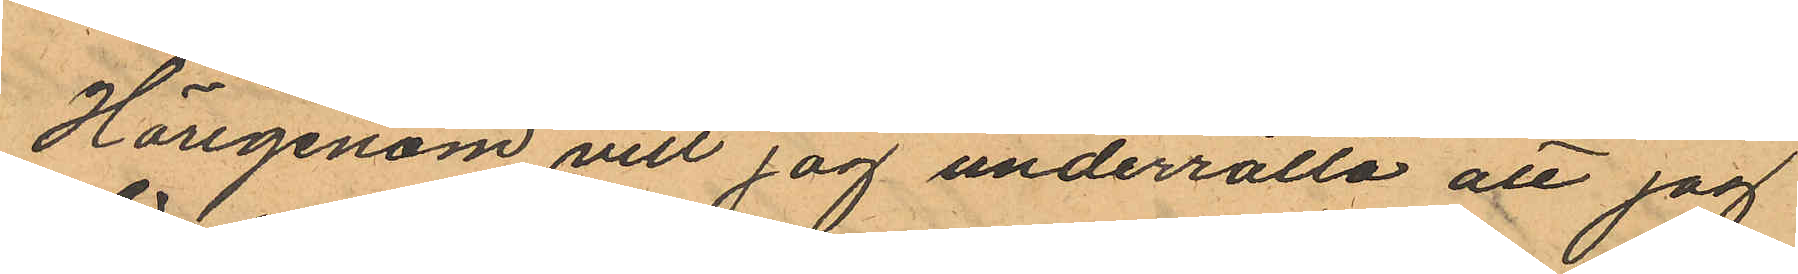Härigenom vill jag underrätta att jag
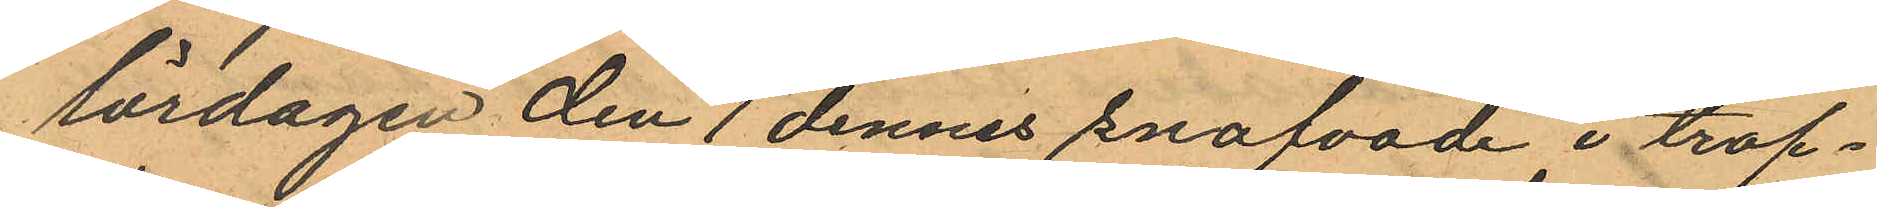lördagen den 1 dennes snafvade i trap¬
